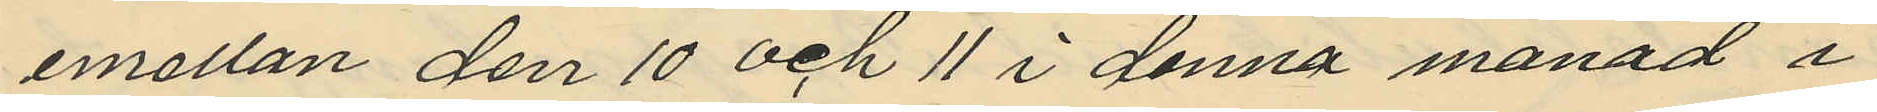emellan den 10 och 11 i denna månad å
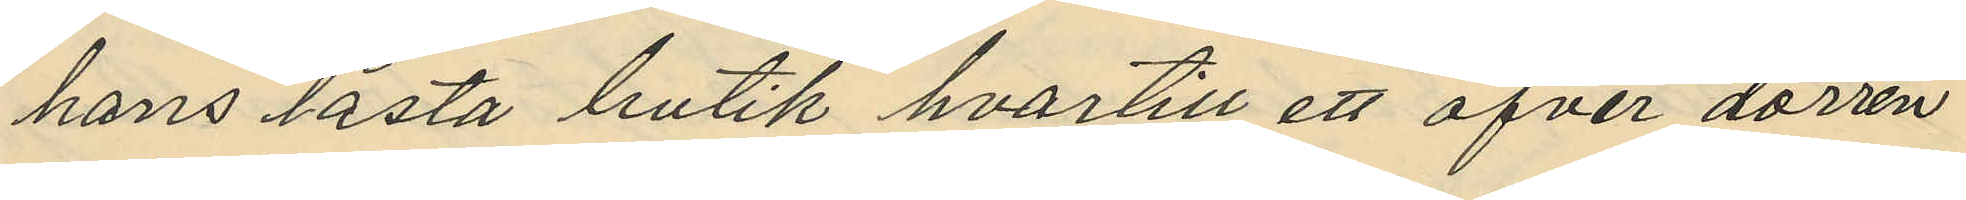hans låsta butik hvartill ett öfver dörren
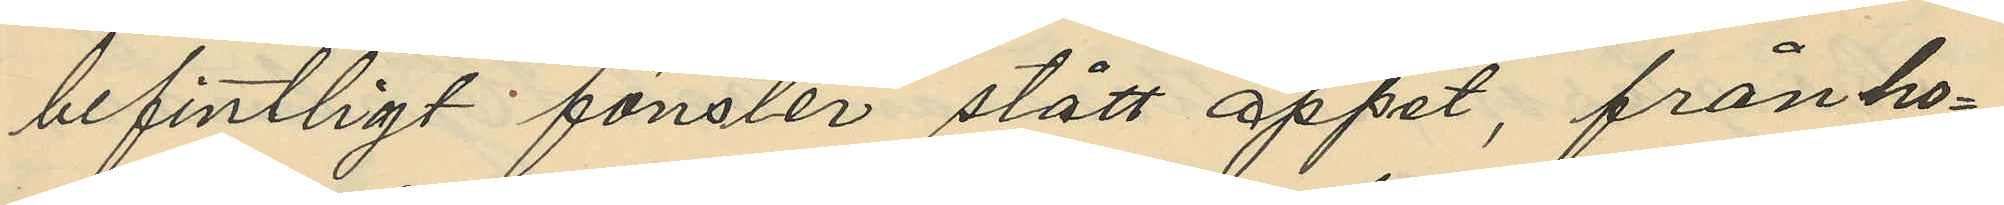befintligt fönster stått öppet, från ho¬
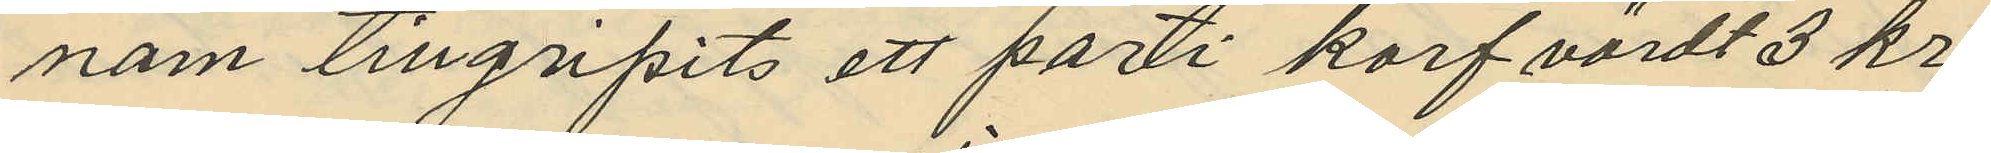nom tillgripits ett parti korf värdt 3 kr.
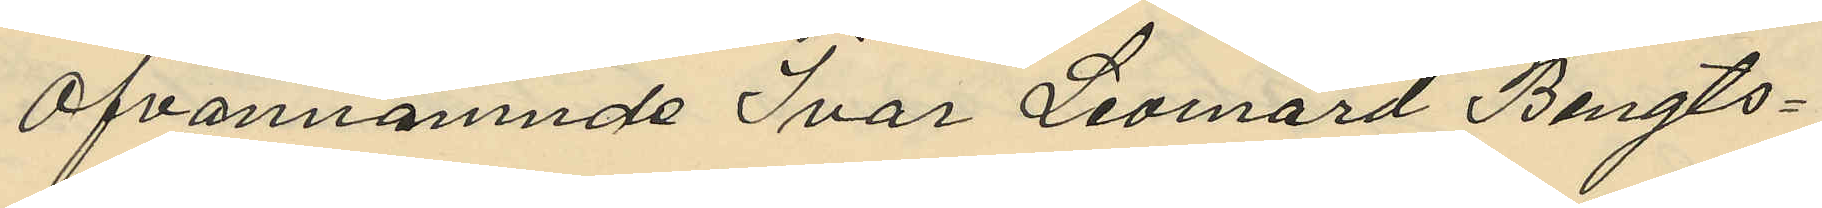ofvannämnde Ivar Leonard Bengts¬
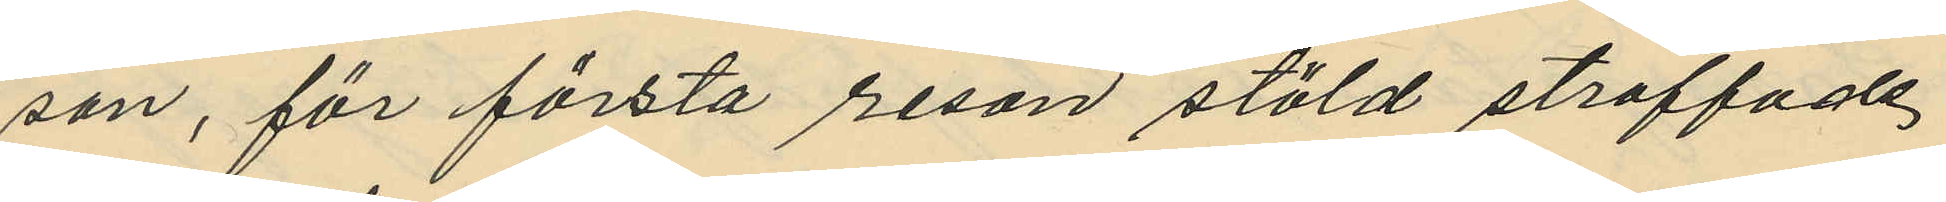son, för första resan stöld straffade
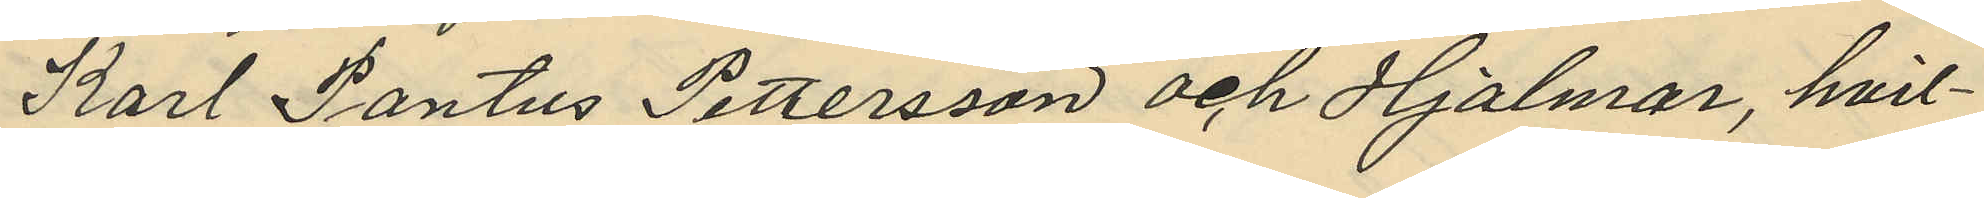Karl Pontus Pettersson och Hjalmar, hvil¬
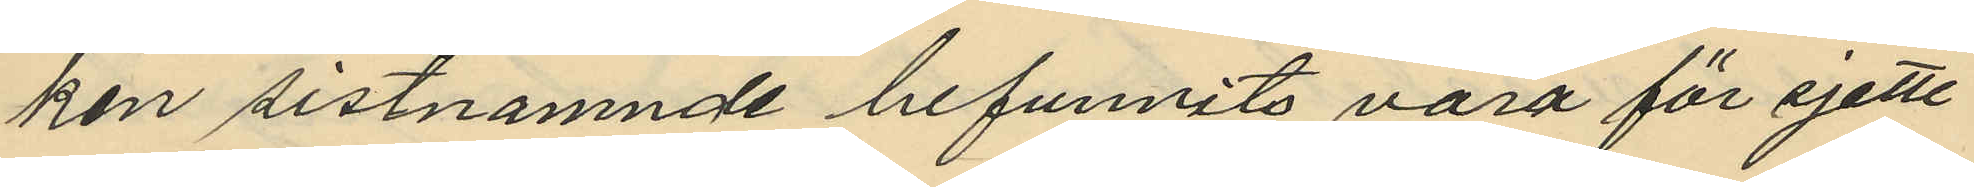ken sistnämnde befunnits vara för sjette
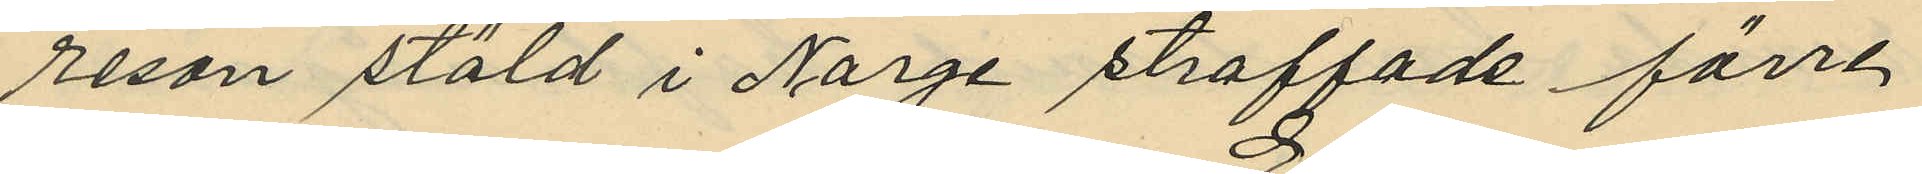resan stöld i Norge straffade förre
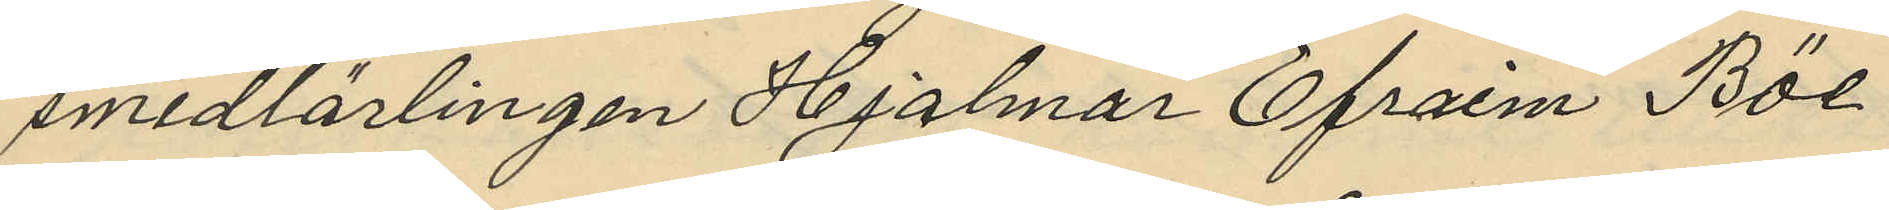smedlärlingen Hjalmar Efraim Böl
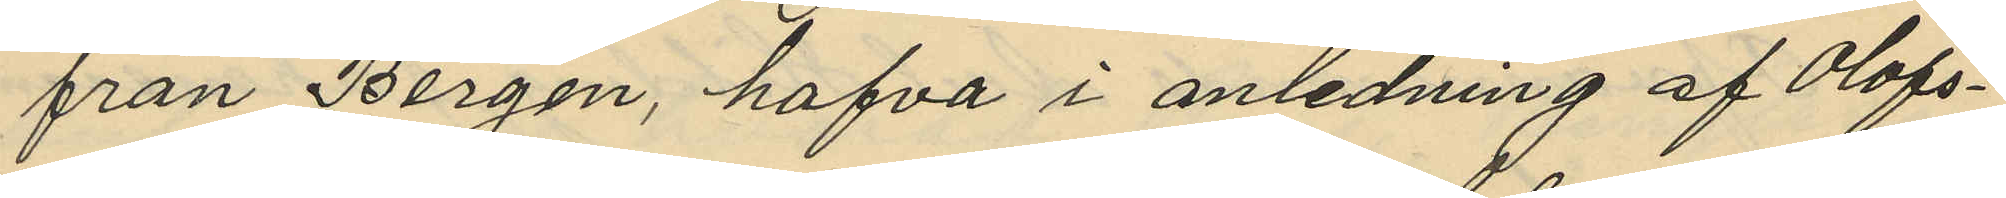från Bergen, hafva i anledning af Olofs¬
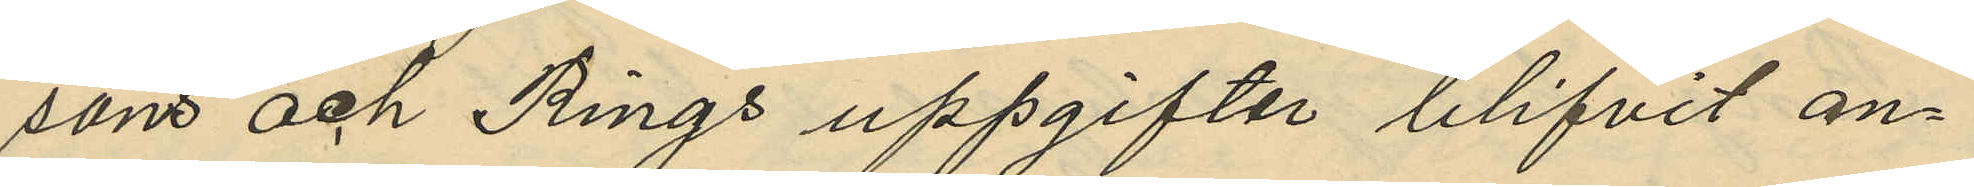som och Rings uppgifter blifvit an¬
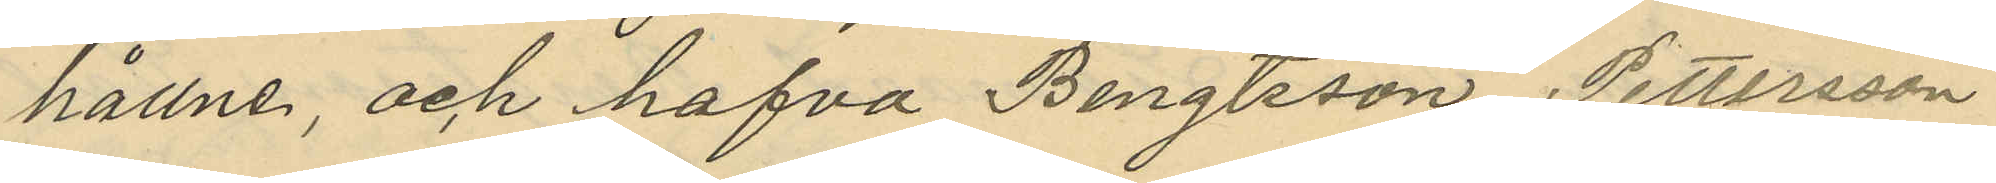hållne, och hafva Bengtsson Pettersson
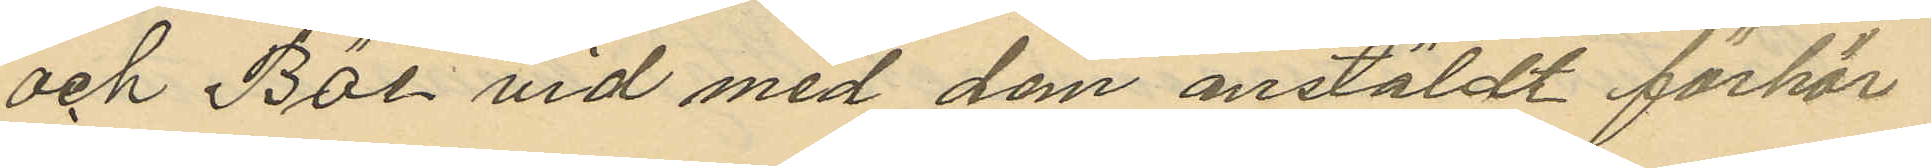och Böl vid med dem anstäldt förhör
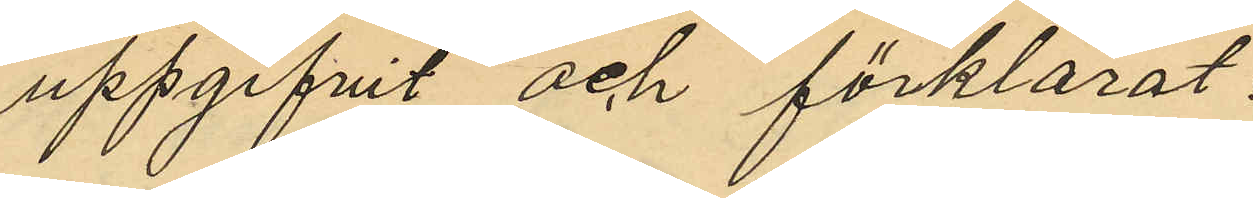uppgifvit och förklarat:
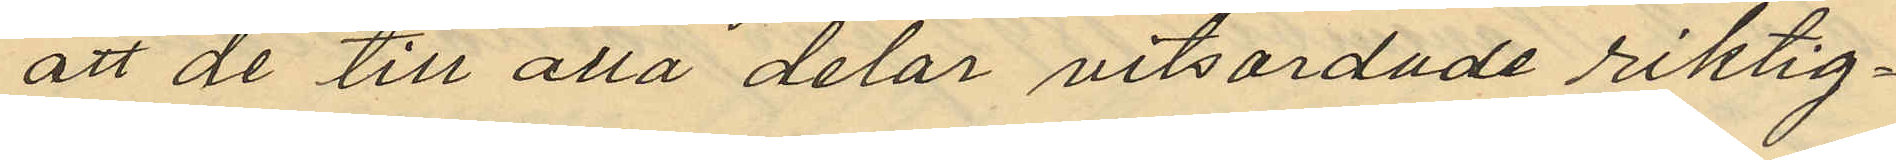att de till alla delar vitsordade riktig¬
